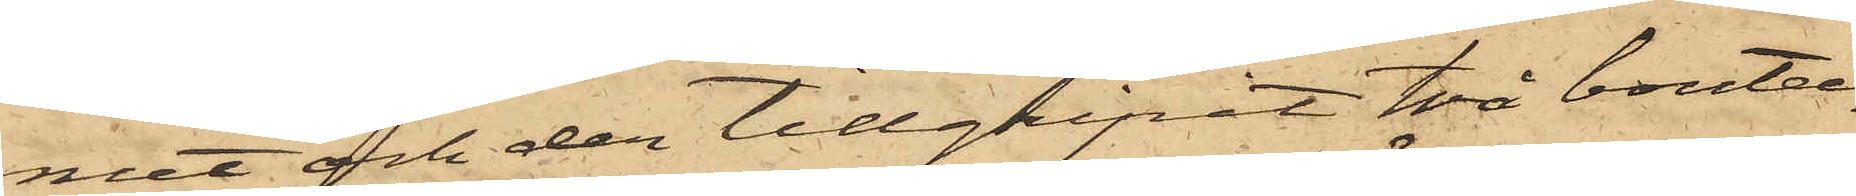met och der tillgripit två boute¬
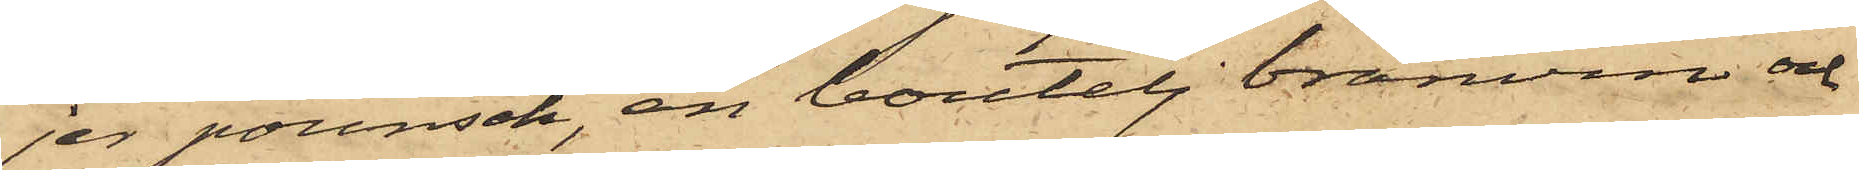jer pounsch, en boutelj bränvin och
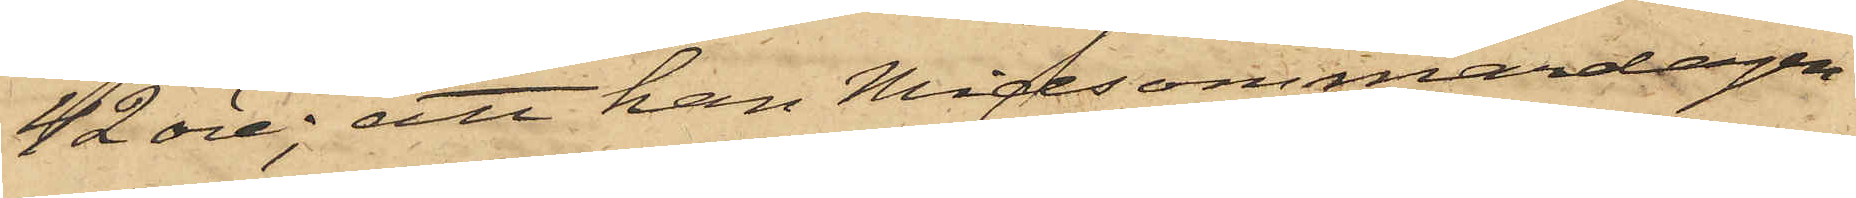42 öre; att han Midsommardagen
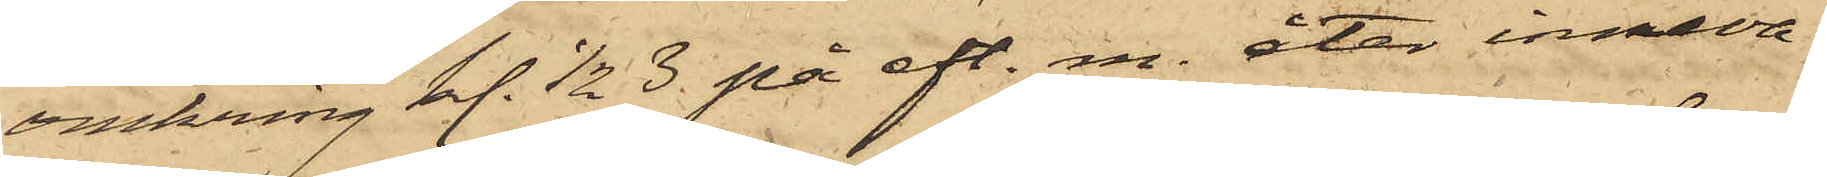omkring kl. 1/2 3 på eft. m. åter inneva¬
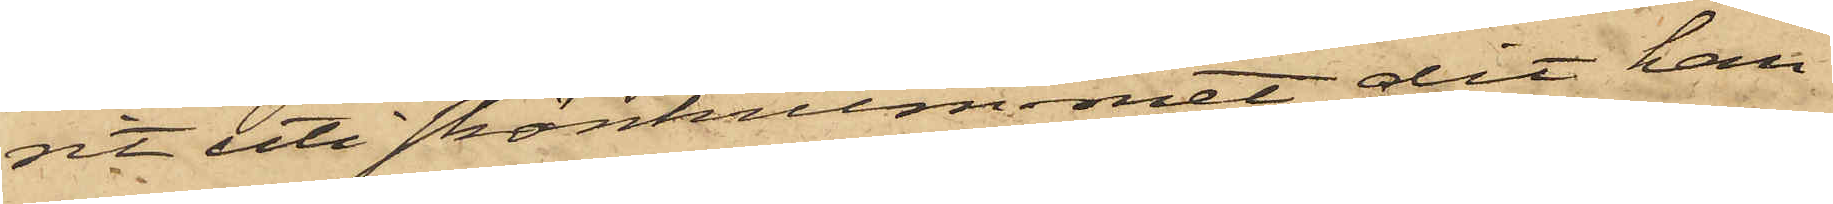rit uti skänkrummet, dit han
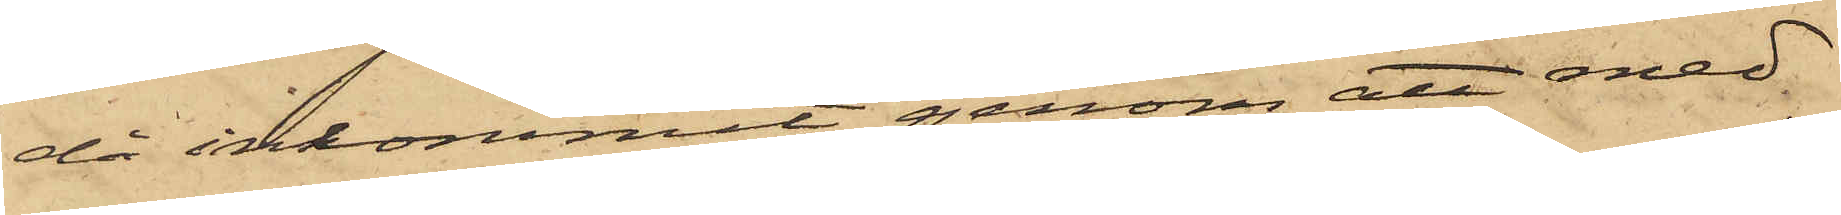då inkommit genom att med
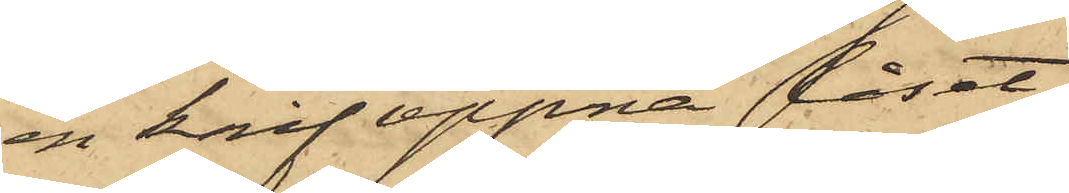en knif öppna låset
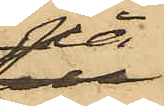på
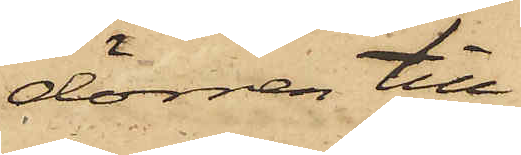dörren till
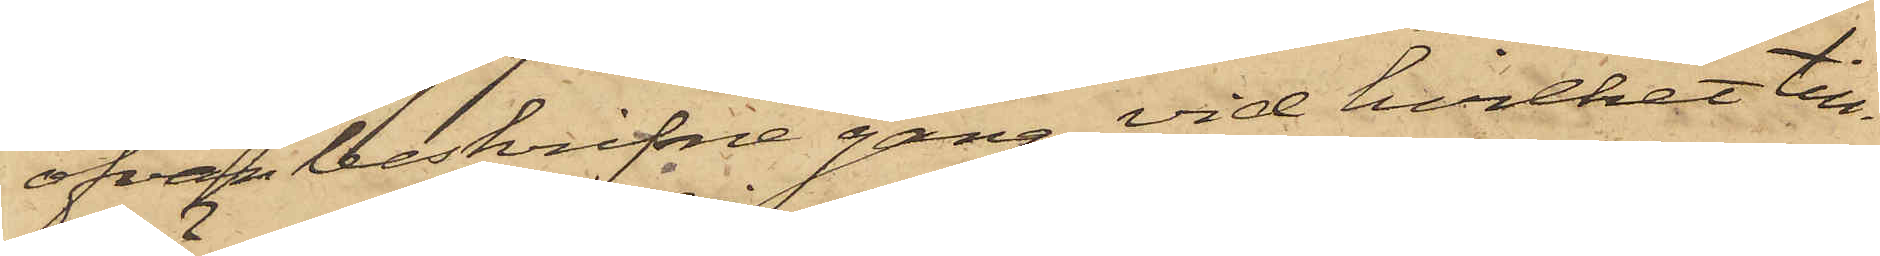ofvanbeskrifne gång, vid hvilket till¬
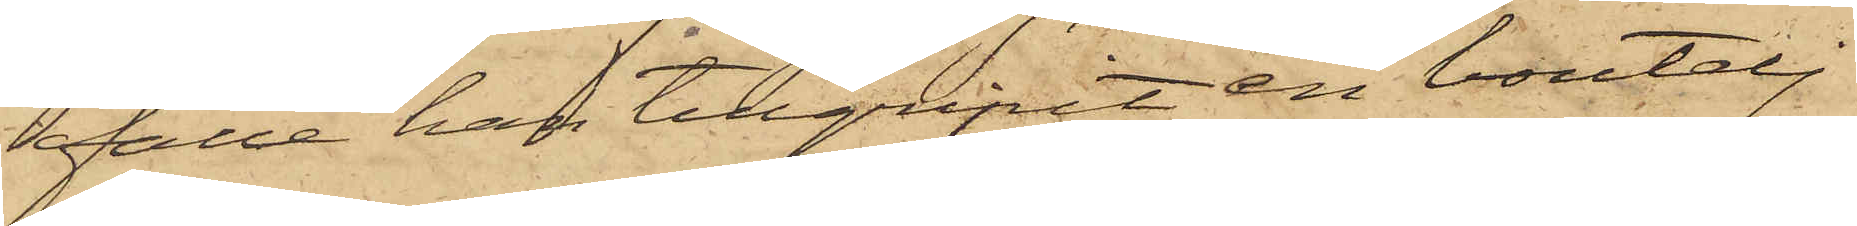fälle han tillgripit en boutelj
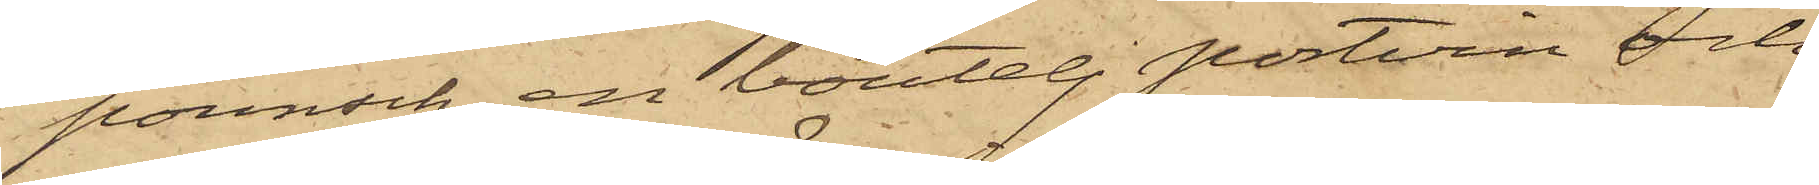pounsch, en boutelj portvin och
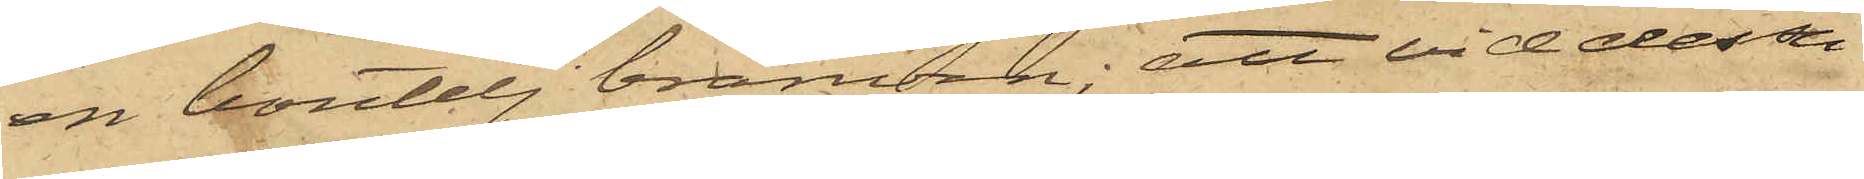en boutelj bränvin; att vid dessa
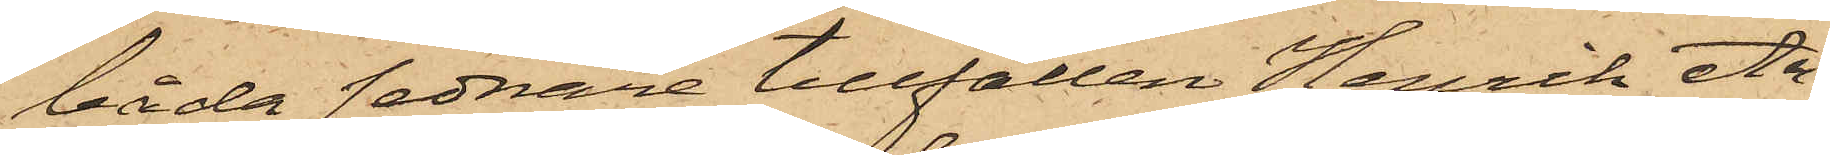båda sednare tillfällen Henrik An¬
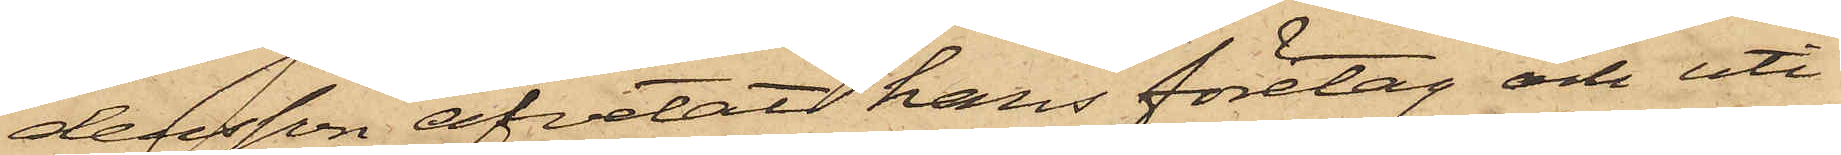dersson afvetat hans företag och uti
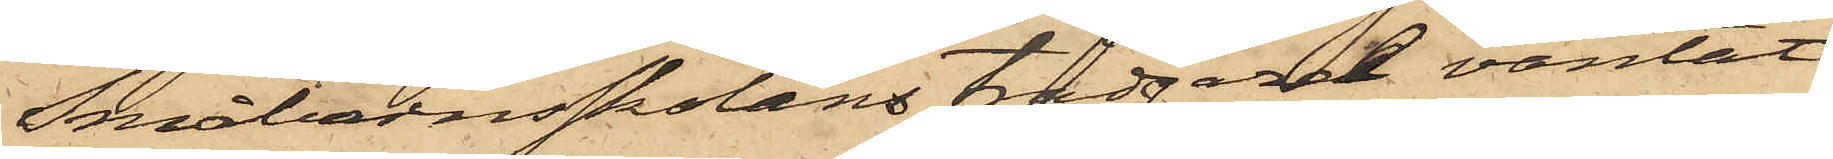Småbarnskolans trädgård väntat
